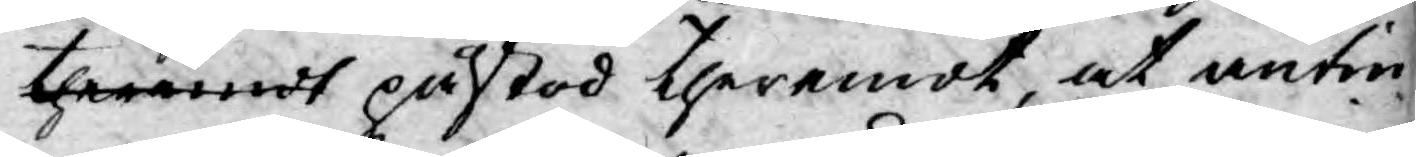theremot påstod theremot, at antin¬
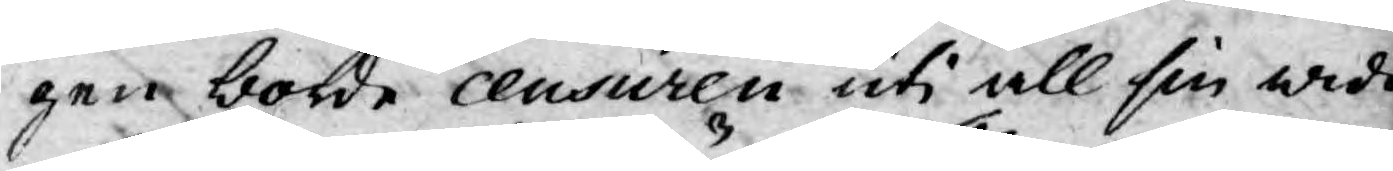gen borde ceusuren uti all sin widd
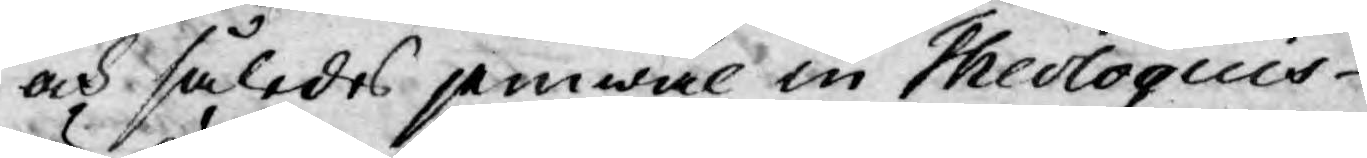och således jemwäl in Theologicis
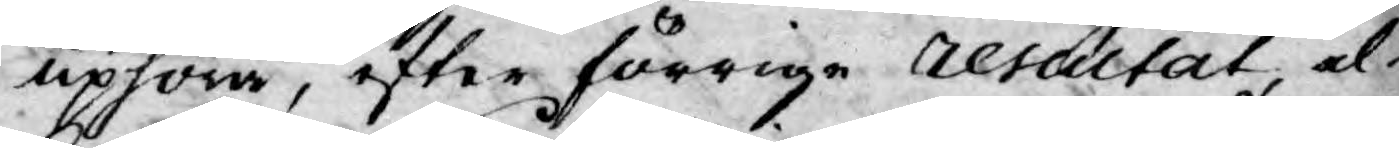uphöra, efter förrige resultat el¬
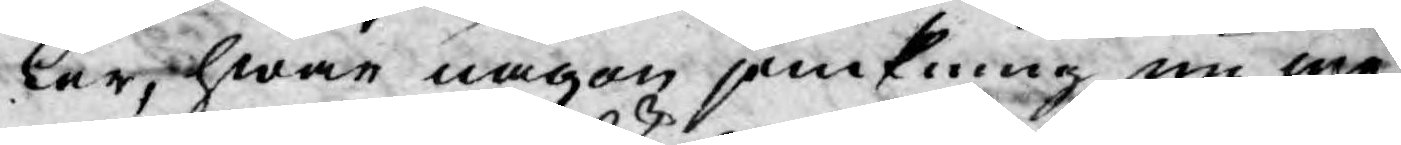ler, hwar någon jemkning nu me¬
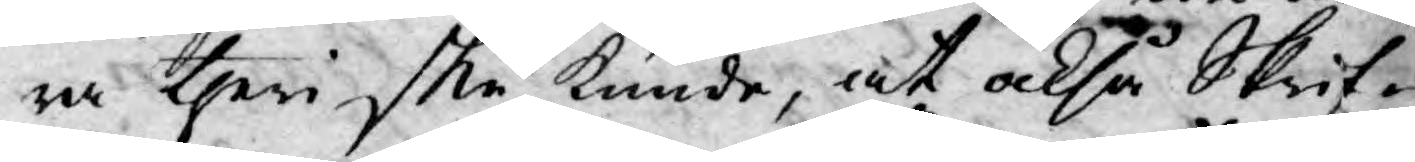ra theri ske kunde, at okså Skrif¬
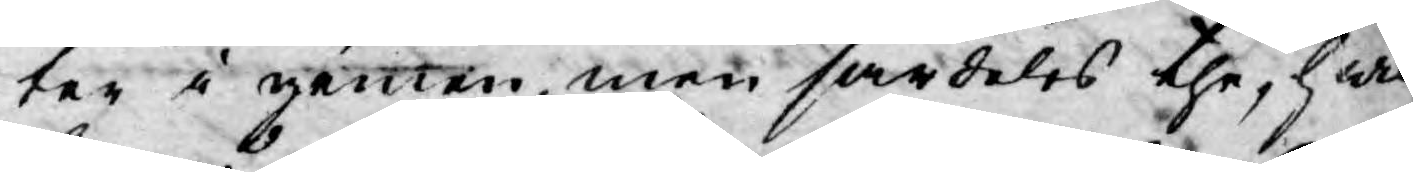ter i gemen, men särdeles the, hwil¬
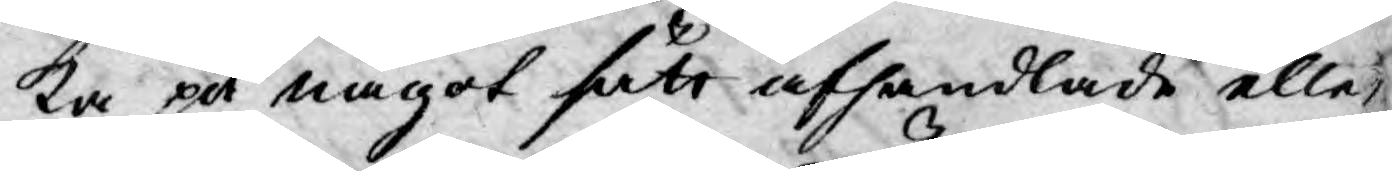ka på något sätt afhandlade eller
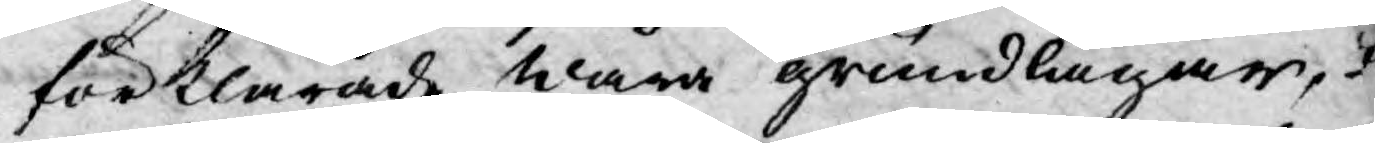förklarade wåra grundlagar,
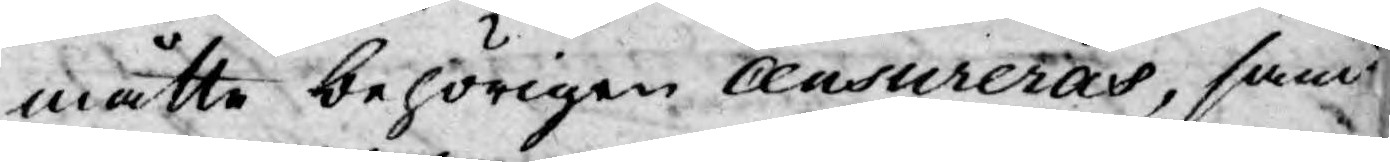måtte behörigen censureras, sam
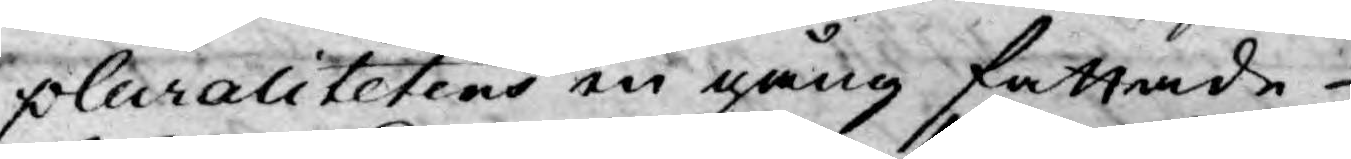pluralitetens en gång fattade
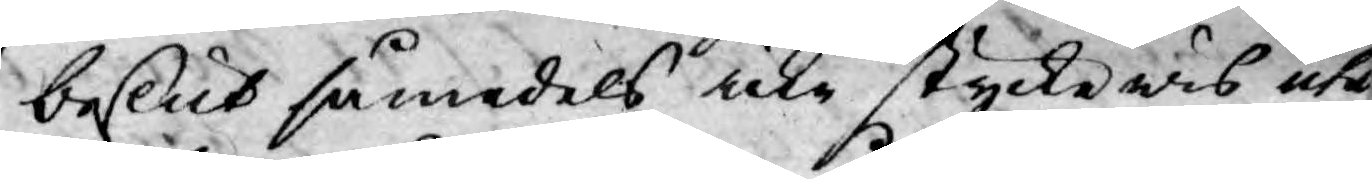beslut såmedels icke styckewis uta
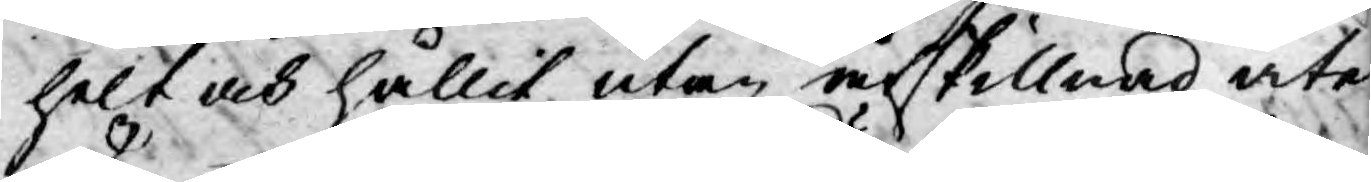helt och hållit utan åtskillnad åte
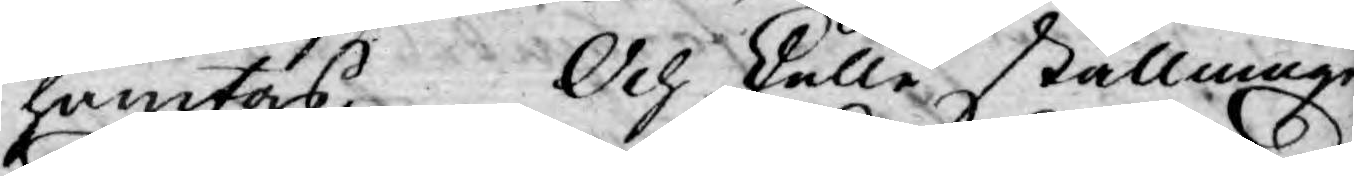hämtas. Och skulle ställningn
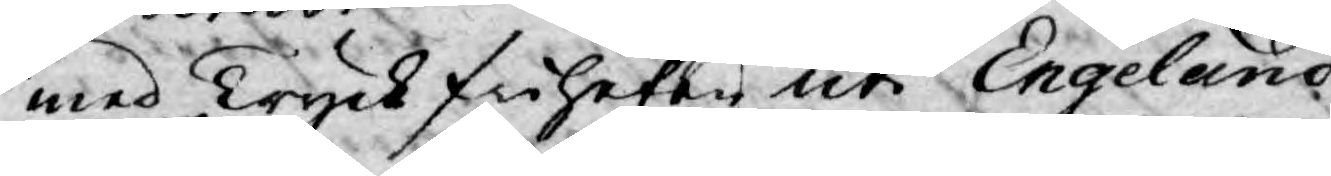med Tryckfriheten uti Engeland
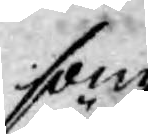som
